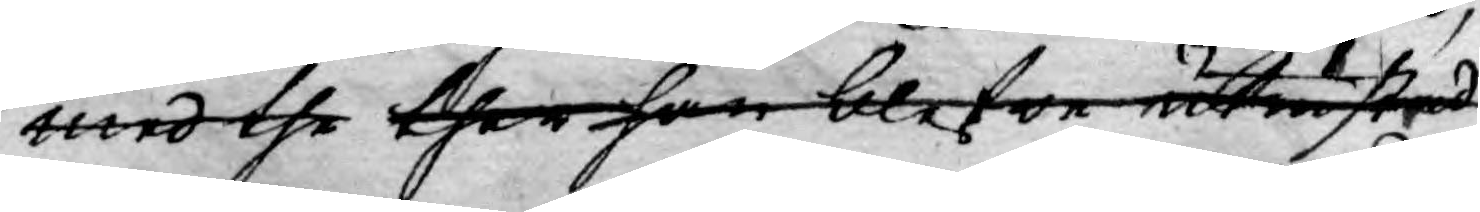med the ther han blefwe utrustad
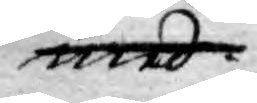med
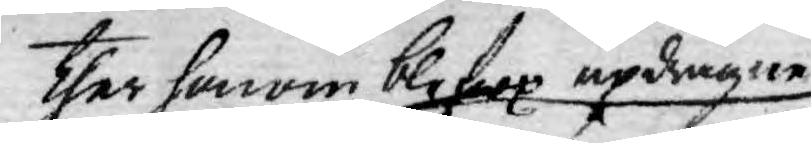ther honom blefwe updragne
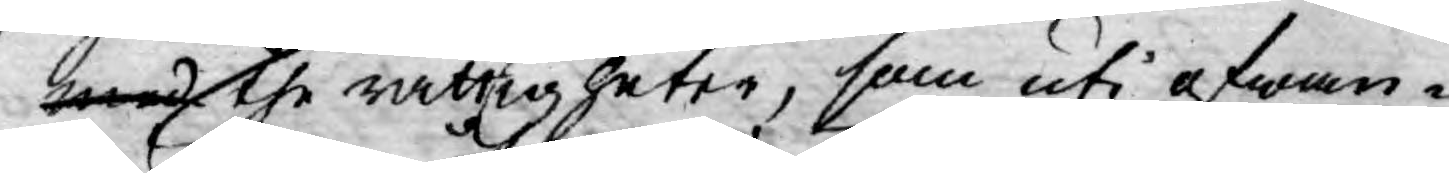med the rättigheter, som uti ofwan¬
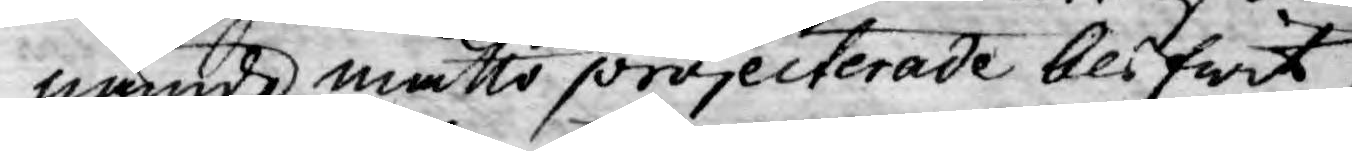nämde måtto projecterade blifwit,
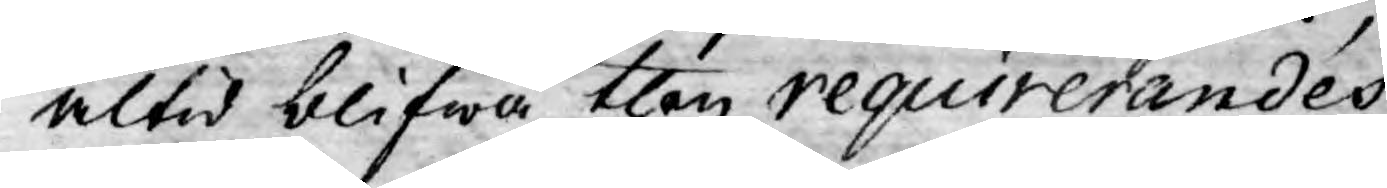altid blifwa then requirerandes
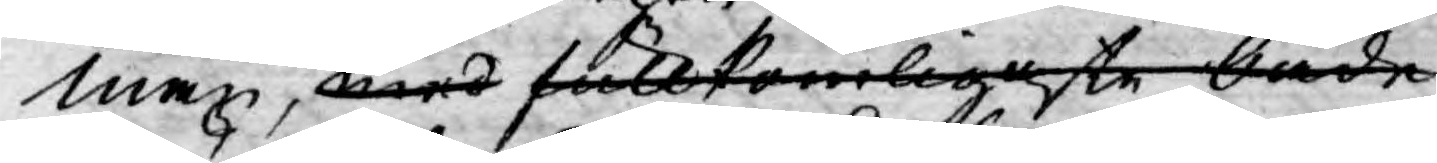man, med fullkomligaste både
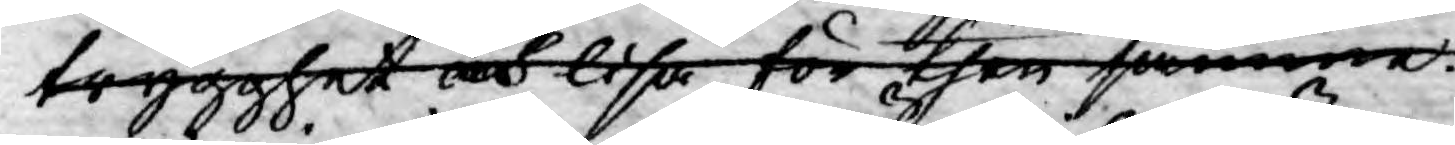trygghet och lisa för then samma.
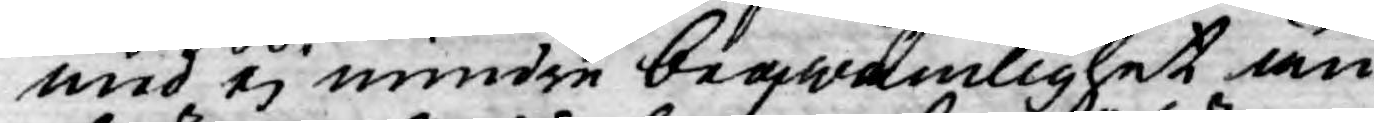med ej mindre beqwämlighet än
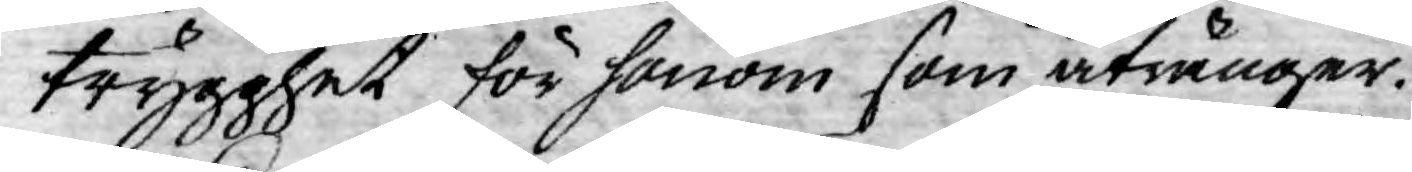trygghet för honom som åtränger.
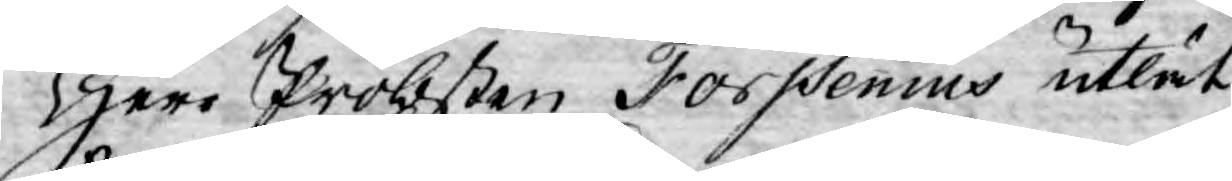Herr Probsten Forssenius utlät
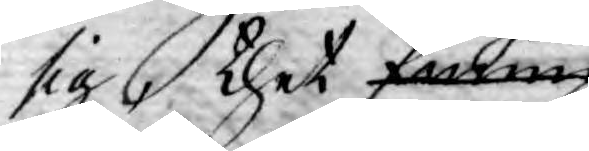sig thet funne
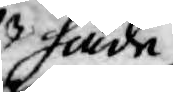hade
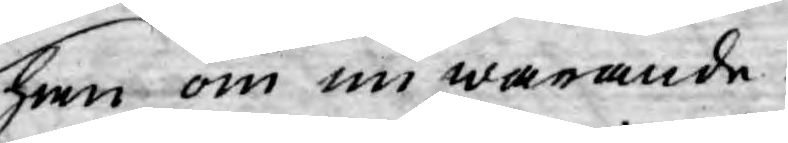han om nu warande
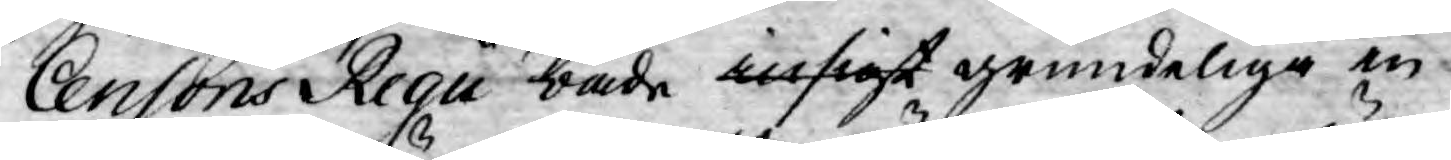Censoris Regii både insigt grundelige in¬
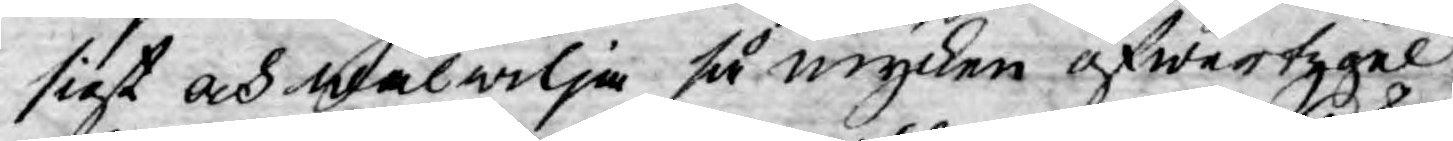sigt och wälwilja så mycken öfwertygel¬
